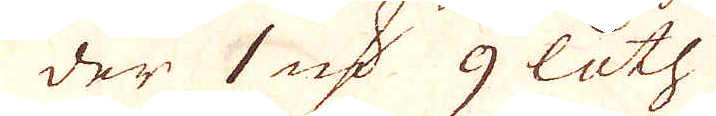der 1 marker 9 loth
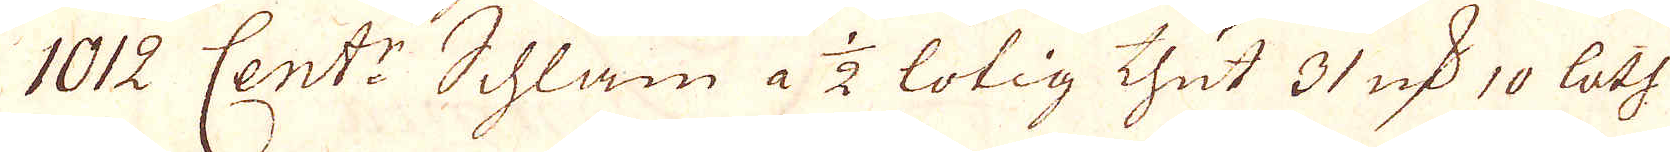1012 Cent:r Schlam a 1/2 lötig thut 31 marker 10 loth
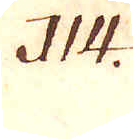114.
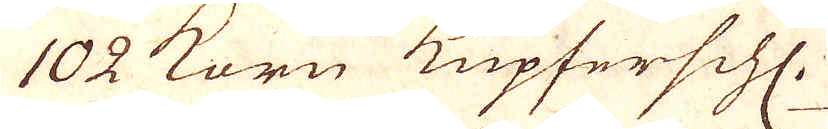102 Korn Kupferschl.
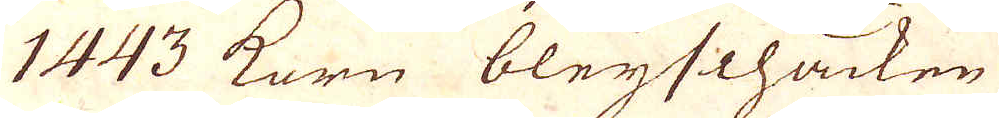1443 Korn bleijschacken
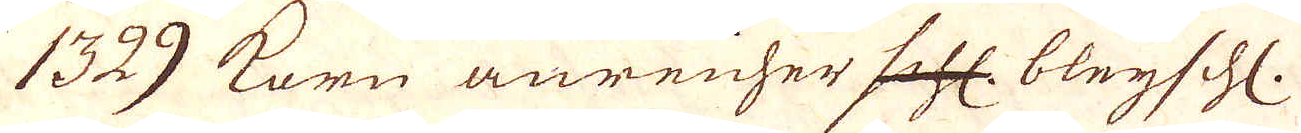1329 Korn anreicher schl. bleijschl.
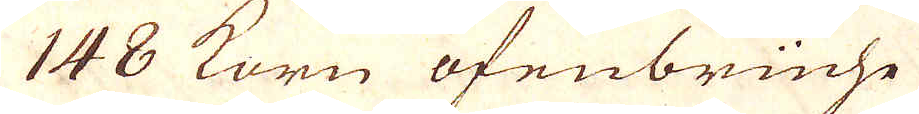148 Korn ofenbrüche
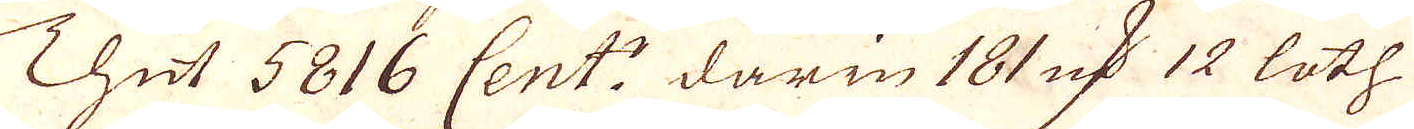Thut 5816 Cent:r darin 181 qv:r 12 loth
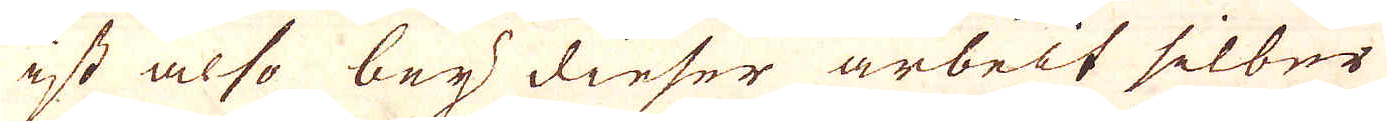ist also bey dieser arbeit silber
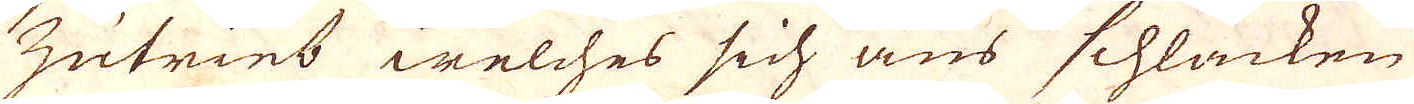zutries welches sich aus schlacken
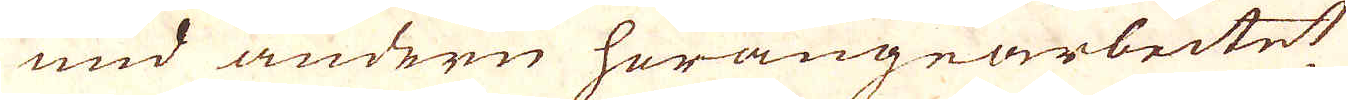und andere herangearbeitet
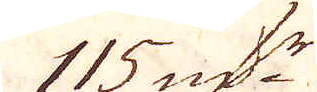115 qv:r
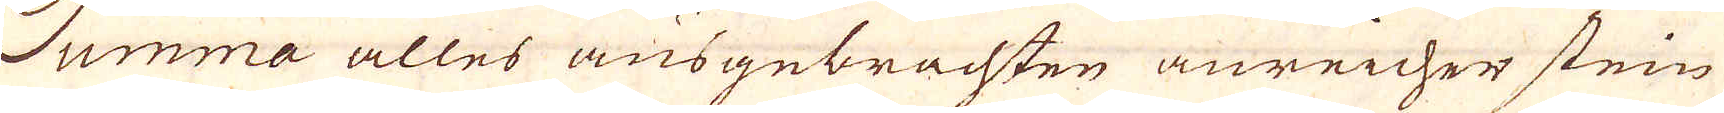Summa alles ausgebrachten anreicher stein
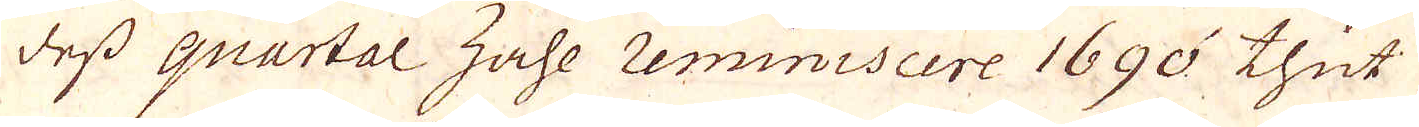dess quartal zahe reminiscere 1690 thut
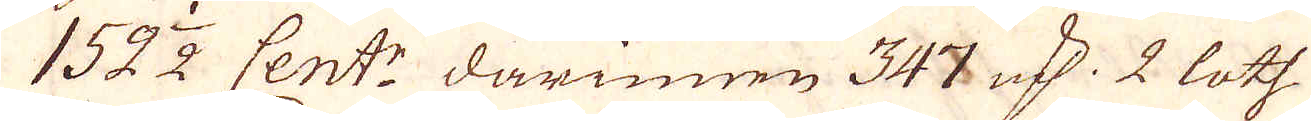152 1/2 Cent:r darinnen 347 qv:r 2 loth
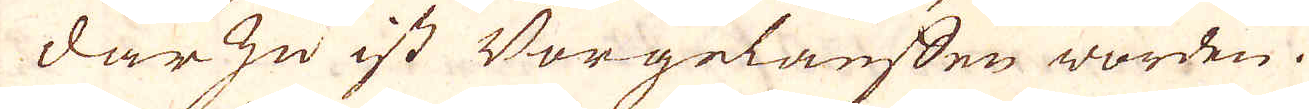Dar zu ist Vorgelauffen worden.
